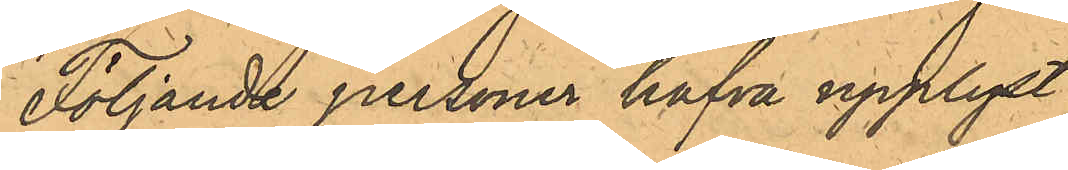Följande personer hafva upplyst:
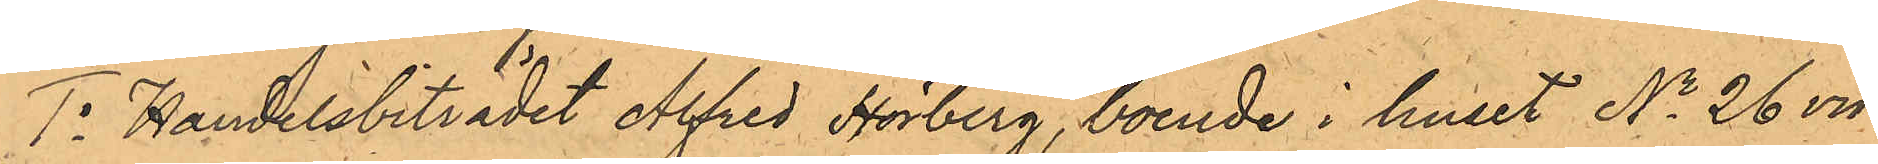1o Handelsbiträdet Alfred Hörberg, boende i huset No 26 vid
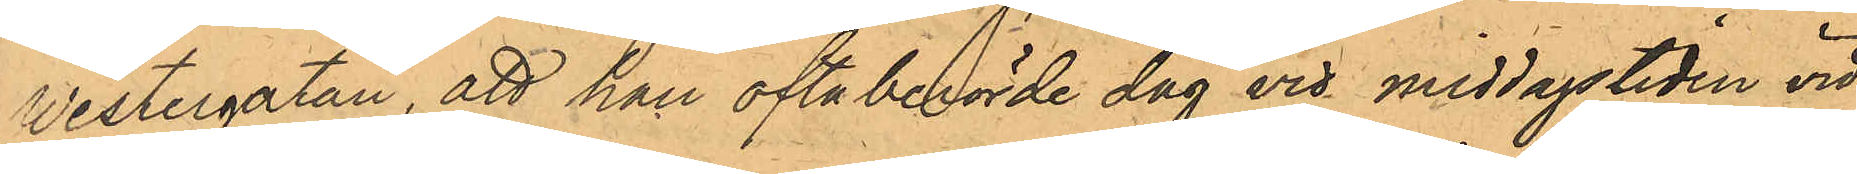Vestergatan, att han oftaberörde dag vid middagstiden vid
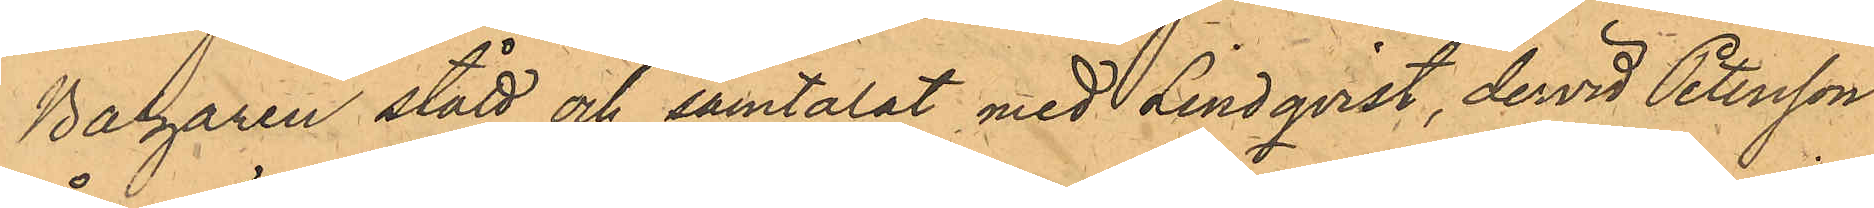Bazaren stått och samtalat med Lindqvist, dervid Petersson
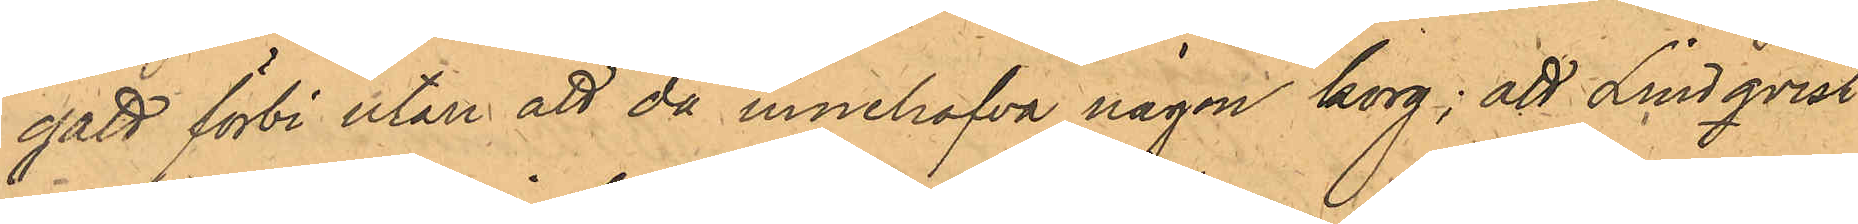gått förbi utan att då innehafva någon korg; att Lindqvist
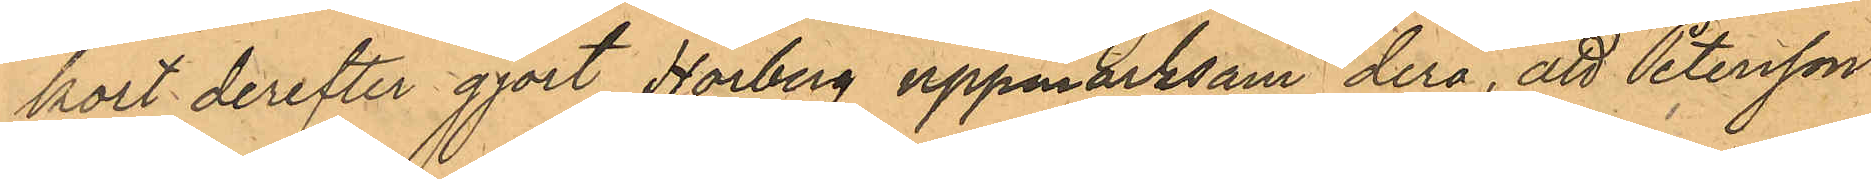kort derefter gjort Hörberg uppmärksam derå, att Petersson
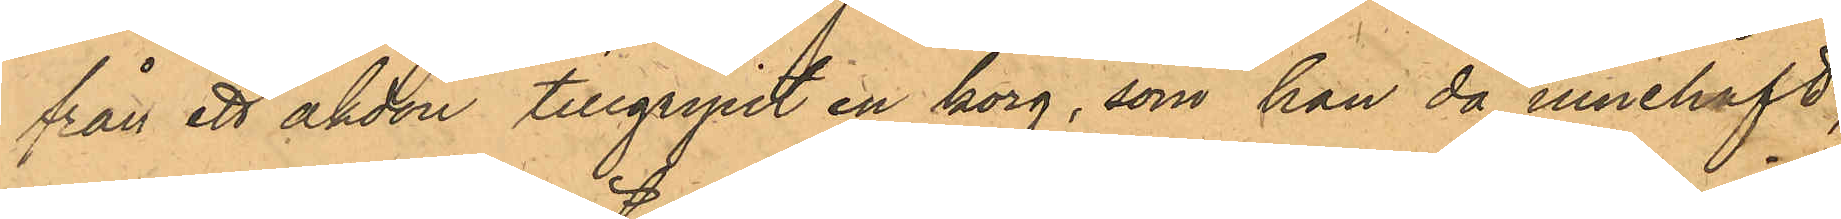från ett åkdon tillgripit en korg, som han då innehaft;
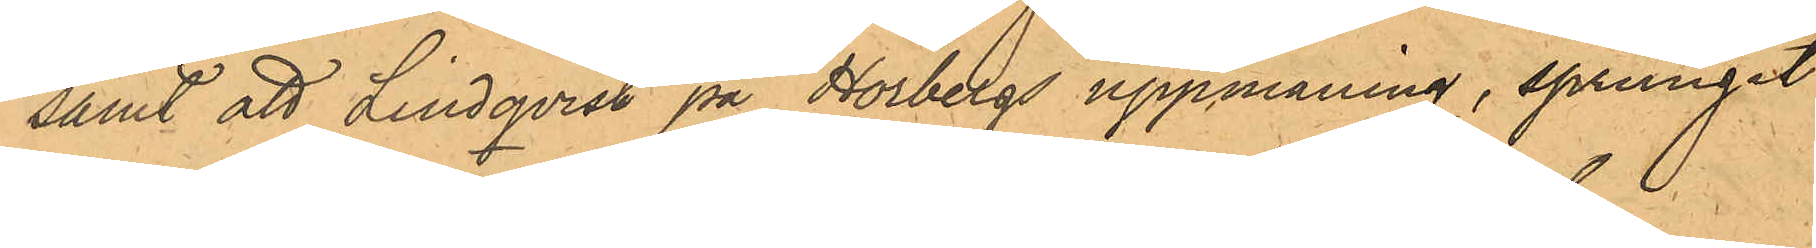samt att Lindqvist på Hörbergs uppmaning, sprungit
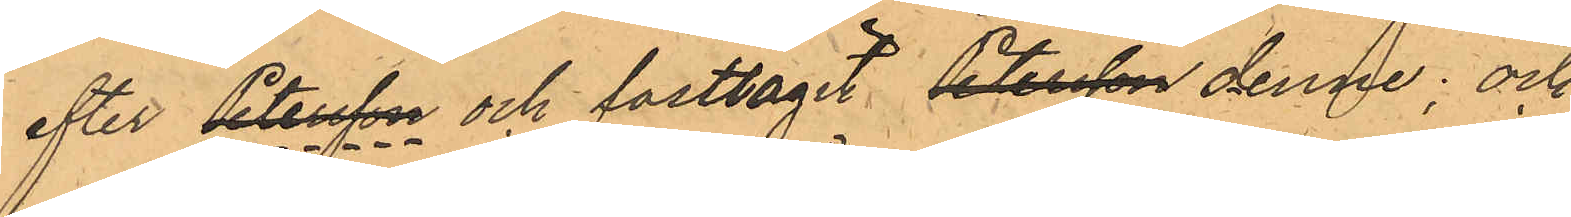efter Petersson och fasttagit Petersson denne; och
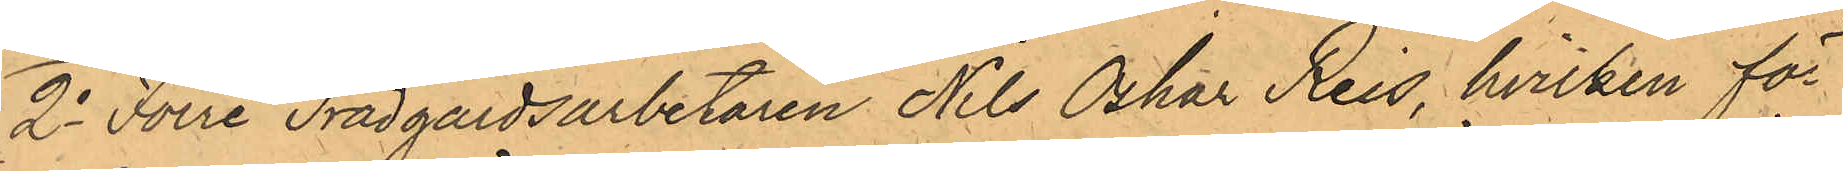2o Förre Trädgårdsarbetaren Nils Oskar Reis, hvilken för
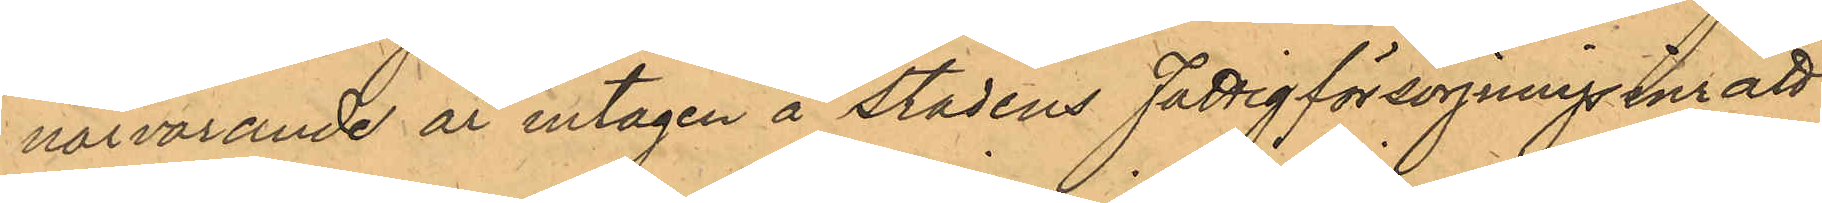närvarande år intagen å stadens Fattigförsörjningsinrätt¬
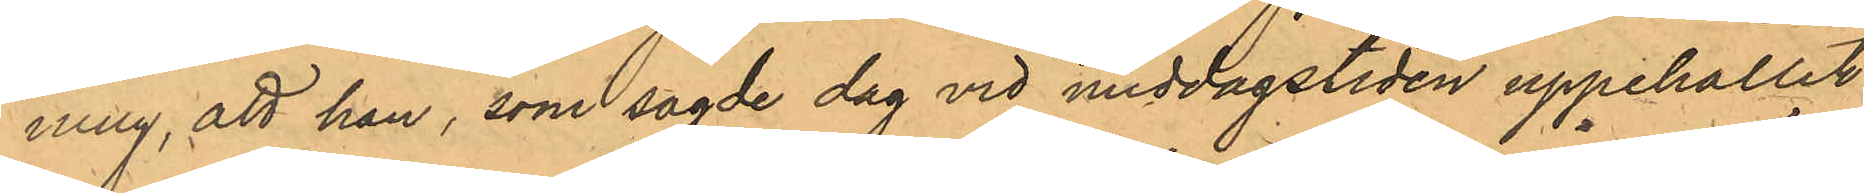ning, att han, som sagde dag vid middagstiden uppehållit
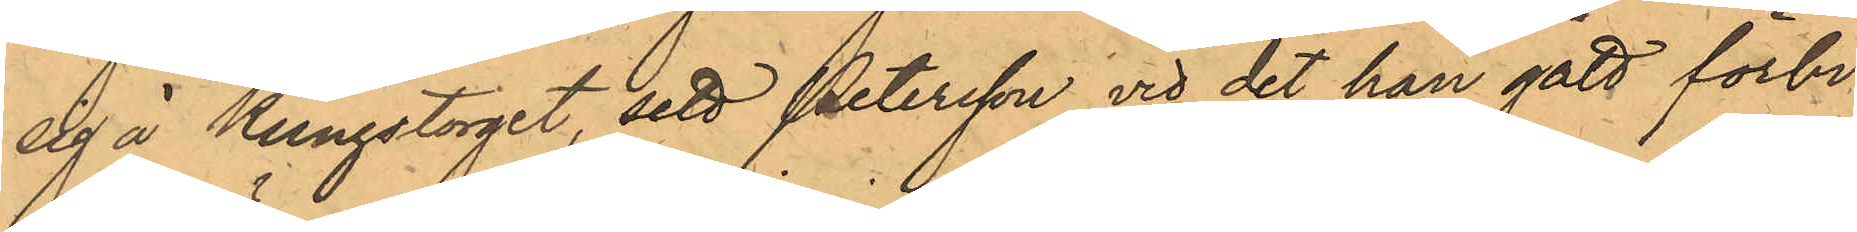sig å Kungstorget, sett Petersson vid det han gått förbi¬
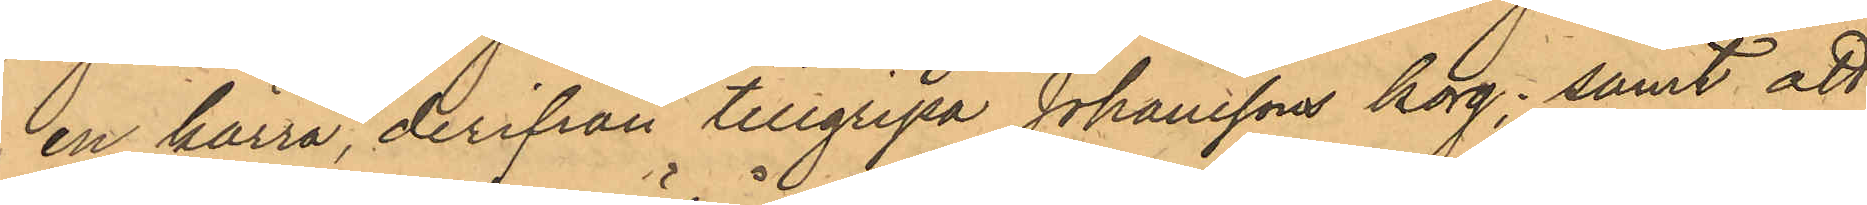en kärra, derifrån tillgripa Johanssons korg; samt att
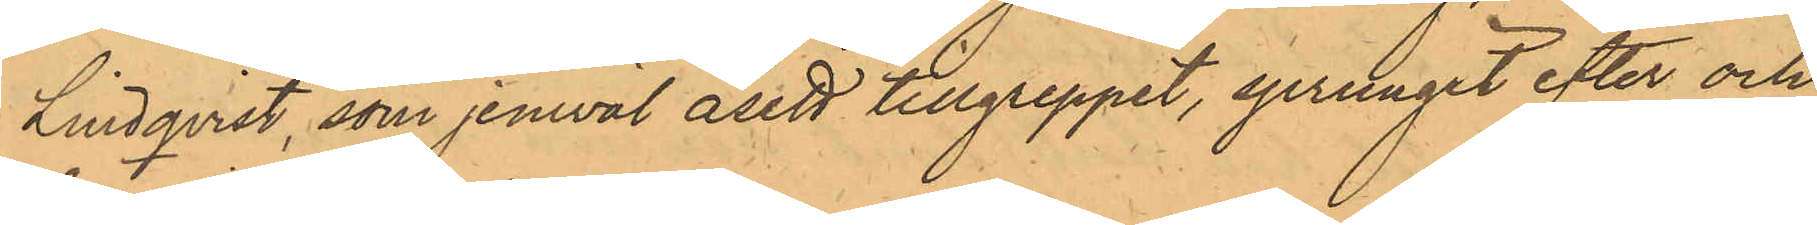Lindqvist, som jemväl åsett tillgreppet, sprungit efter och
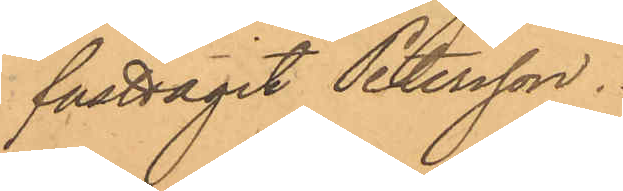fasttagit Petersson.
